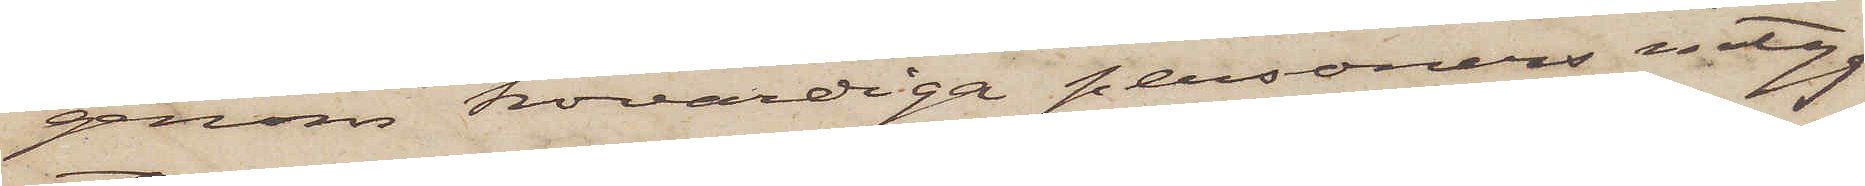genom trovärdiga personers intyg
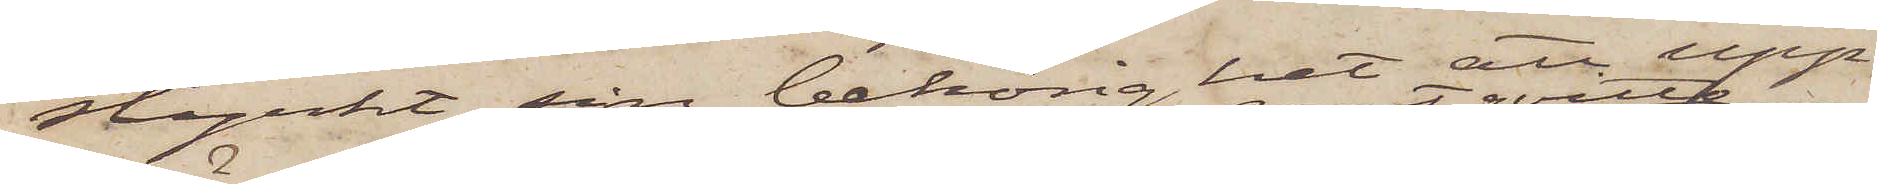styrkt sin behörighet att upp¬
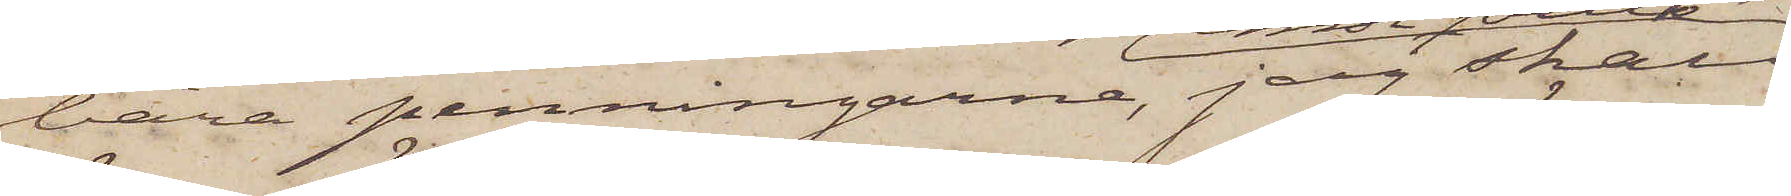bära penningarne, jag skall
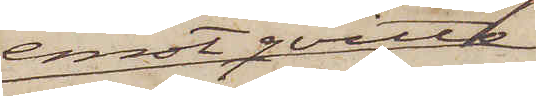emot qvitto
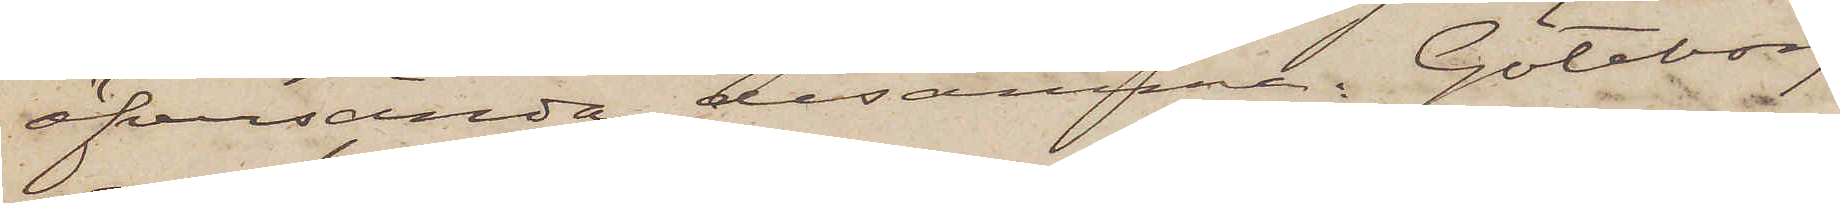öfversända desamma. Göteborg
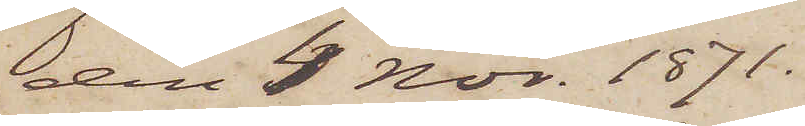den 4 Nov. 1871.
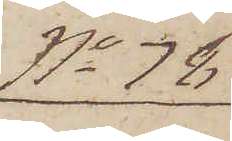No 78
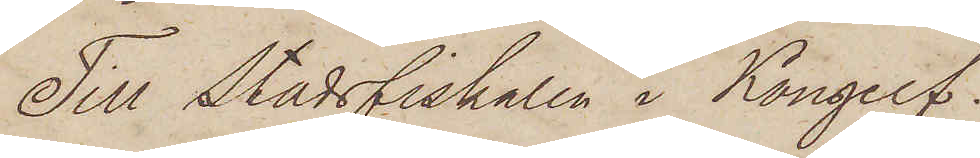Till Stadsfiskalen i Kongelf.
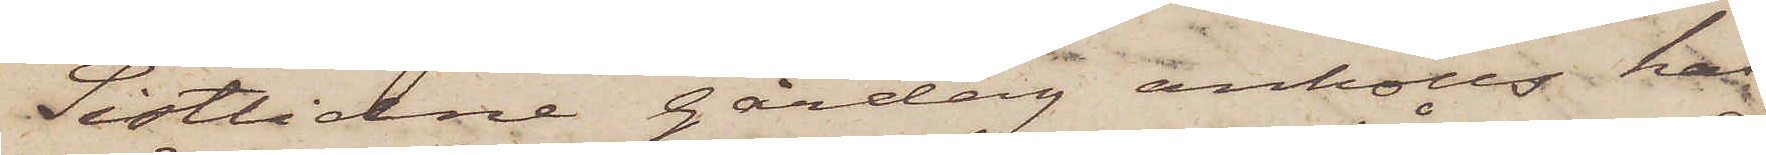Sistlidne gårdag anhölls här¬
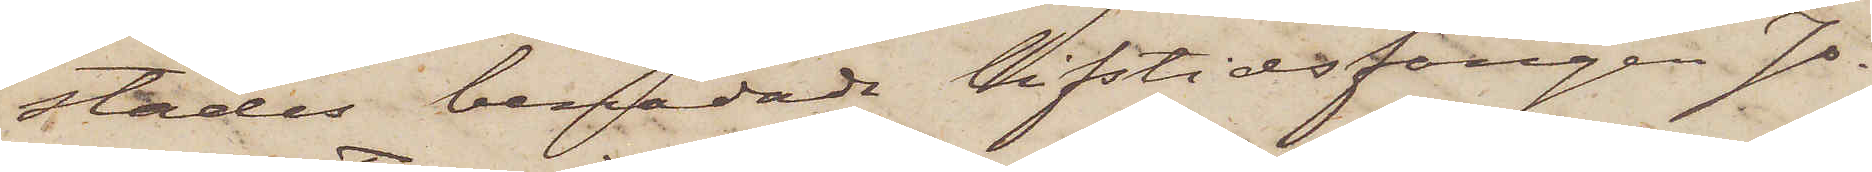städes benådade lifstidsfången Jo¬
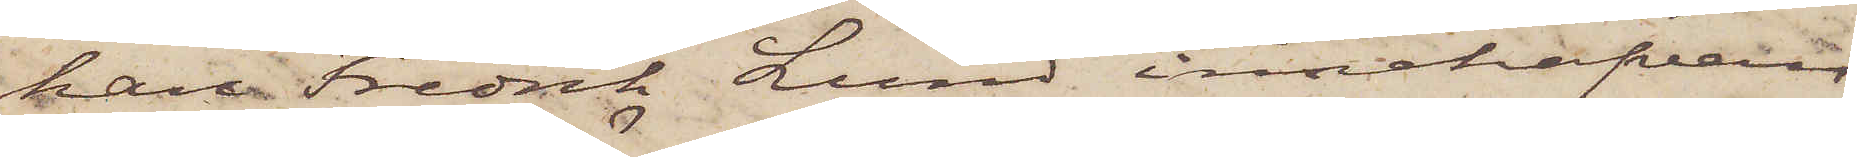han Fredrik Lund innehafvan¬
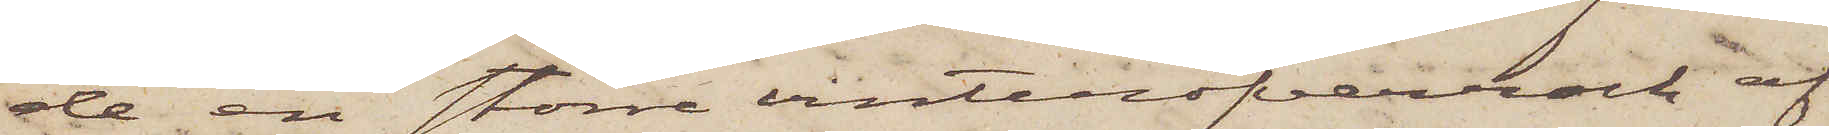de en större vinteröfverrock af
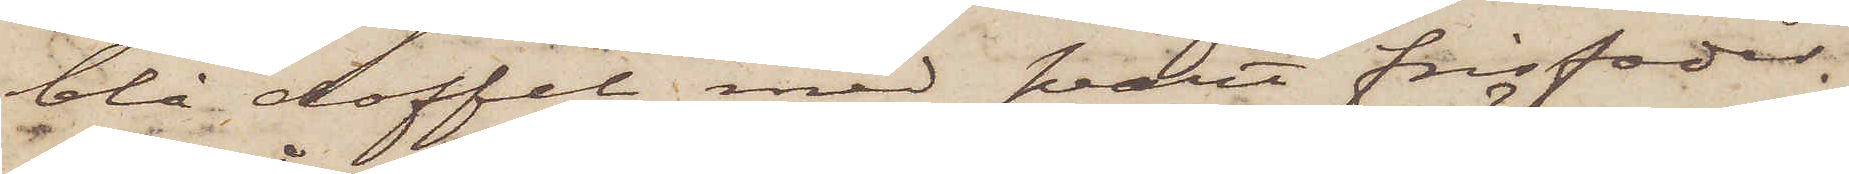blå doffel med svart frisfoder.
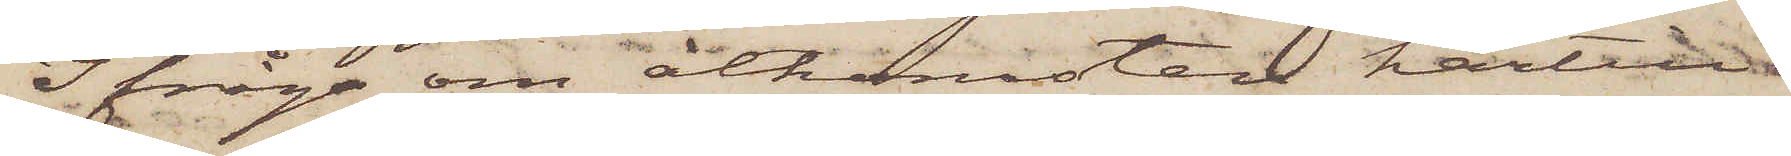Ifråga om åtkomsten härtill
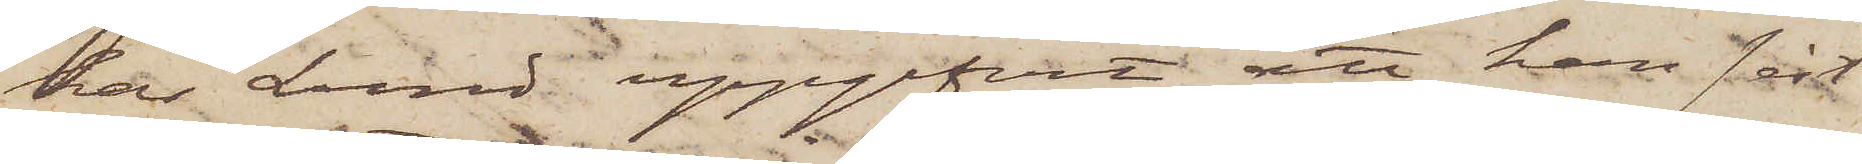har Lund uppgifvit, att han sist¬
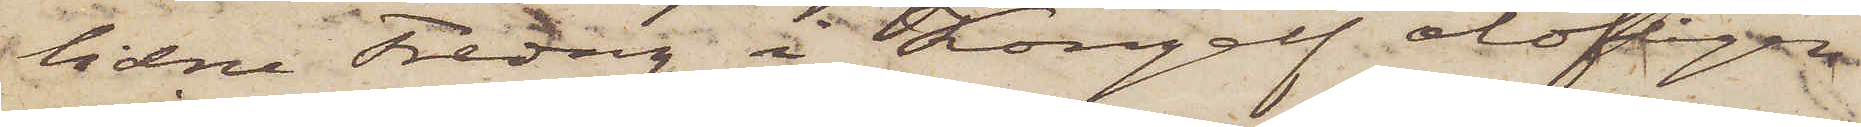lidne Fredag i Kongelf olofligen
